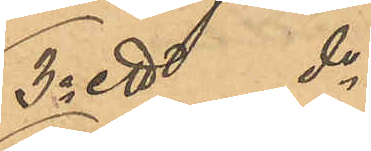3o ett do 
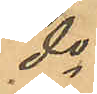do
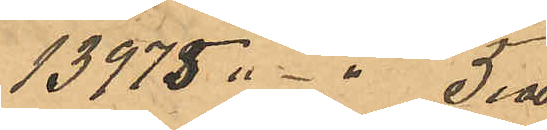13975 "-" 5,00
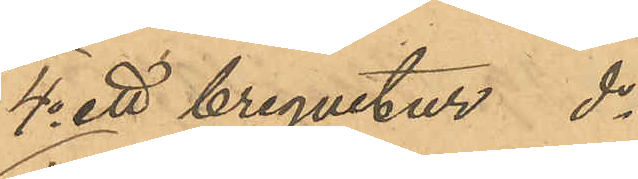4o ett brequetur do 
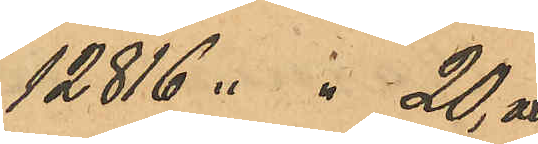12816 " " 20,00
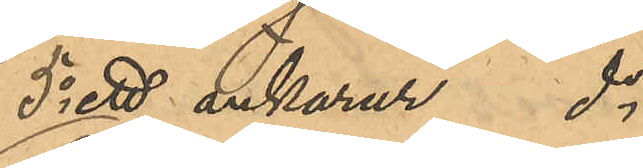5o ett ankarur do
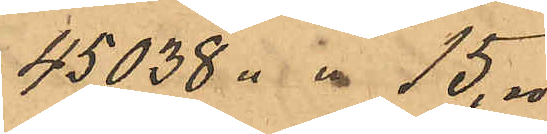45,038 " " 15,00
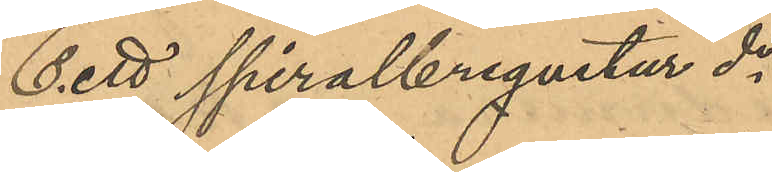6o ett spiralbrequetur do
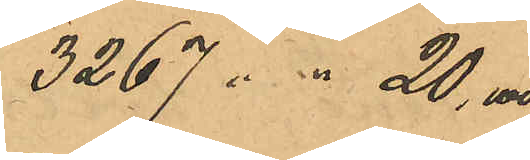3267 " " 20,00
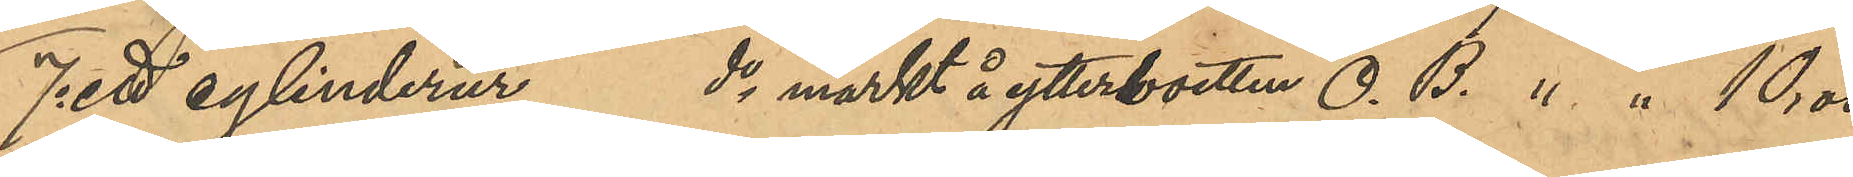7o ett cylinderur do märkt å ytterboetten O. B. " " 10,00
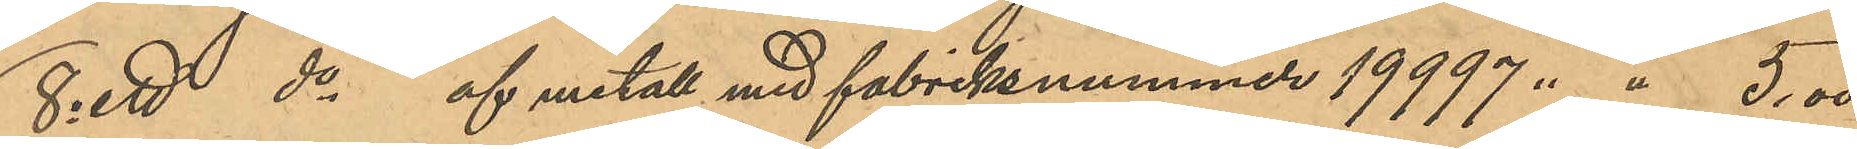8o ett do af metall med fabriksnummer 19997 " " 5,00
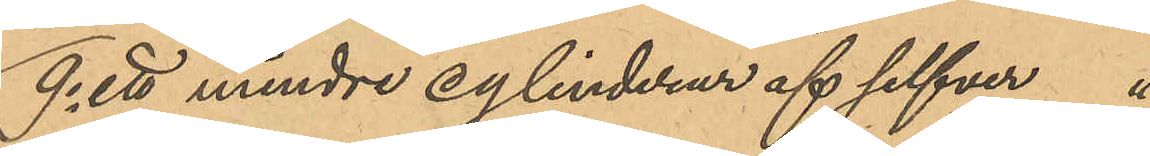9o ett mindre cylinderur af silfver " 
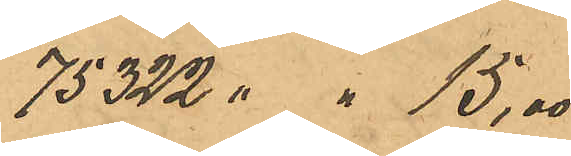75322 " " 15,00
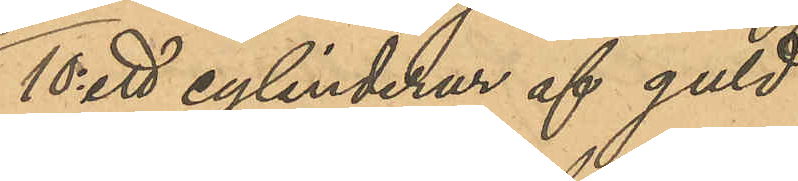10o ett cylinderur af guld
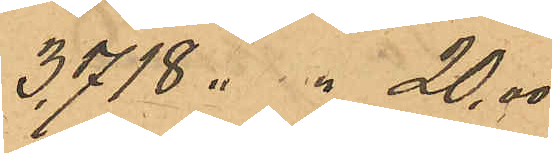3,718 " " 20,00
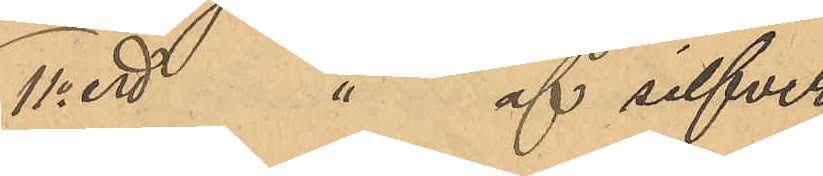11o ett " af silfver 
